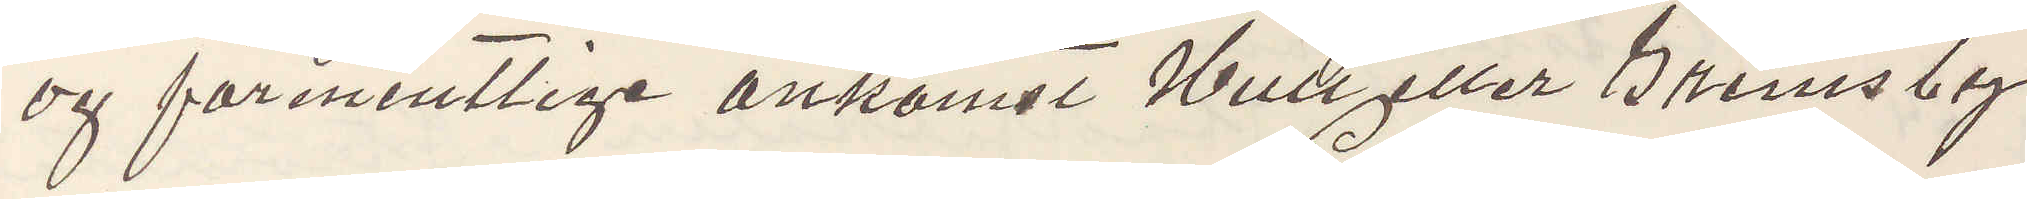og formentlige ankomst Hull eller Grimsby
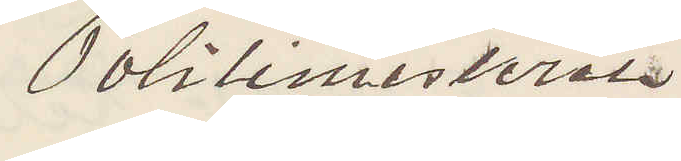Politimesteren
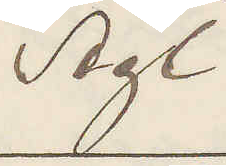Agt
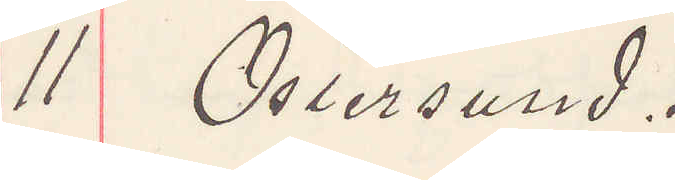11 Östersund.
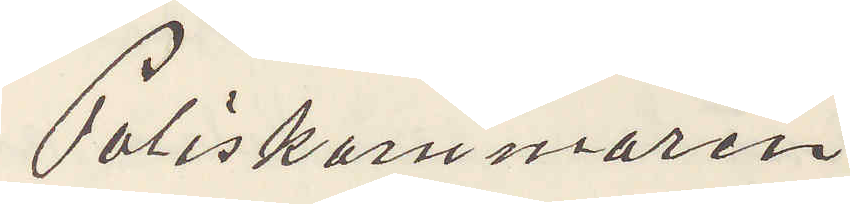Poliskammaren
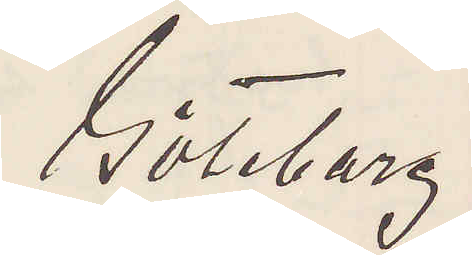Göteborg.
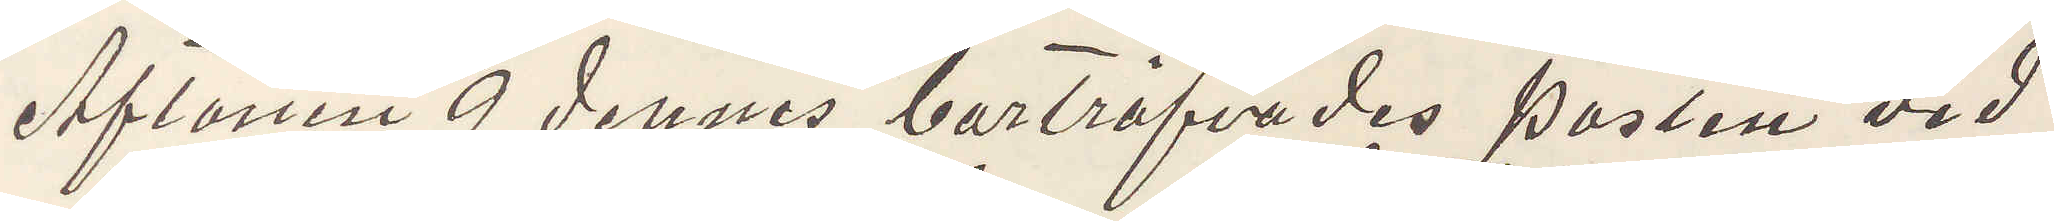Aftonen 9 dennes bortröfvades posten vid
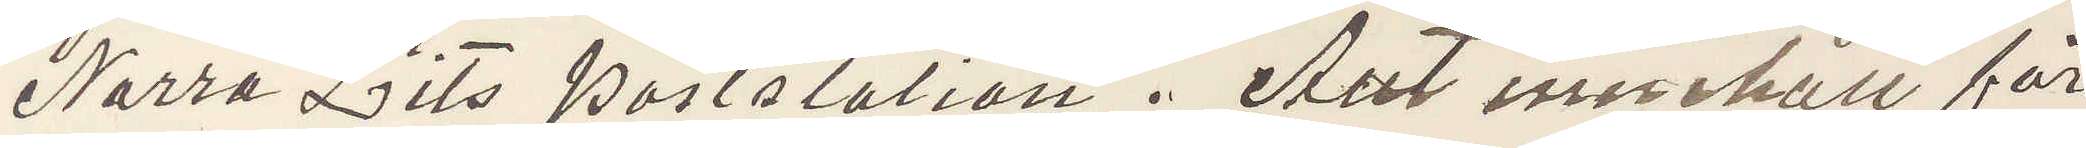Norra Lits poststation. Allt innehåll för
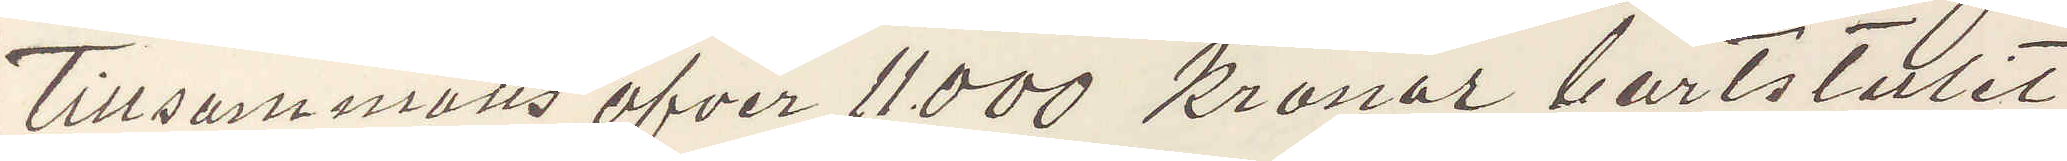tillsammans öfver 11000 Kronor bortstulet
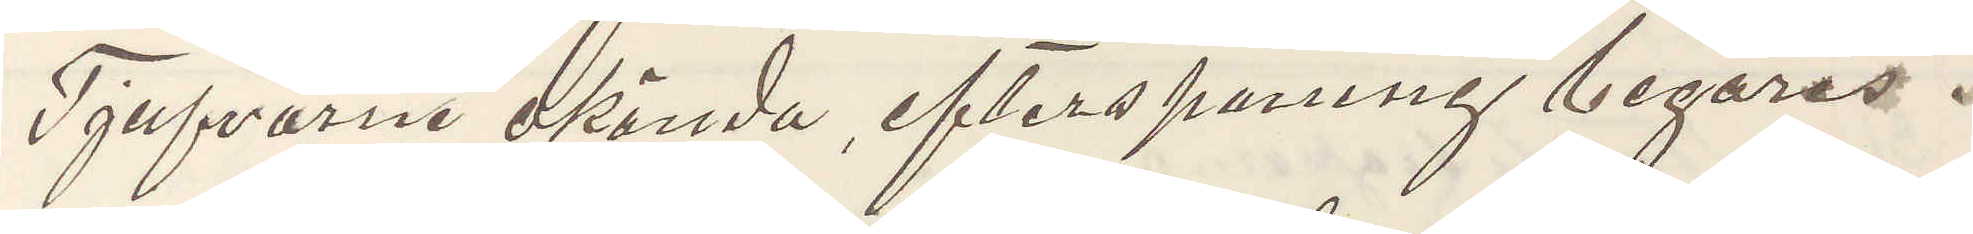Tjufvarne okända, efterspaning begäres.
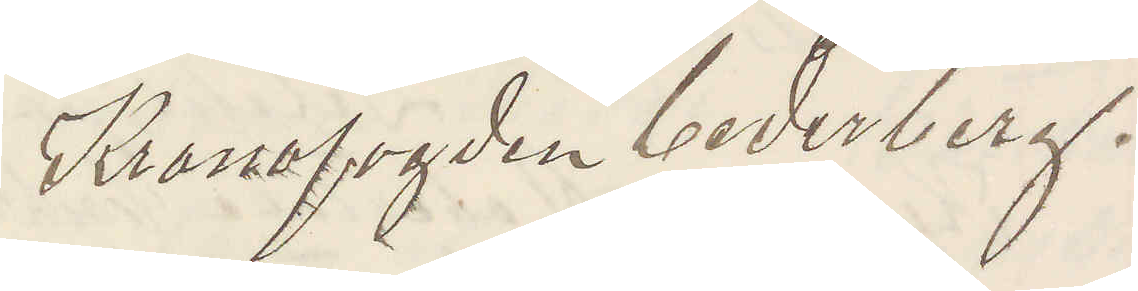Kronofogden Cederberg.
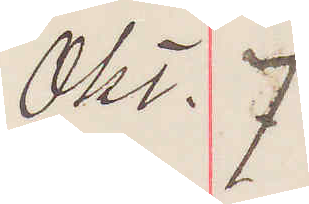Okt. 7
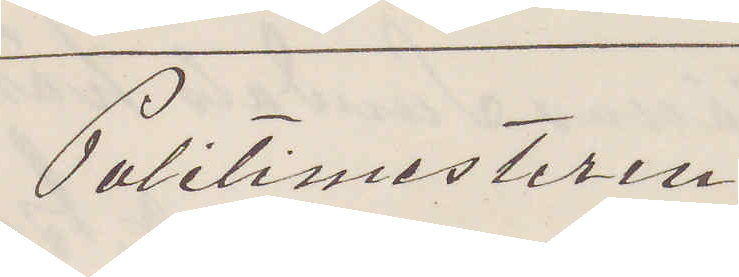Politimesteren
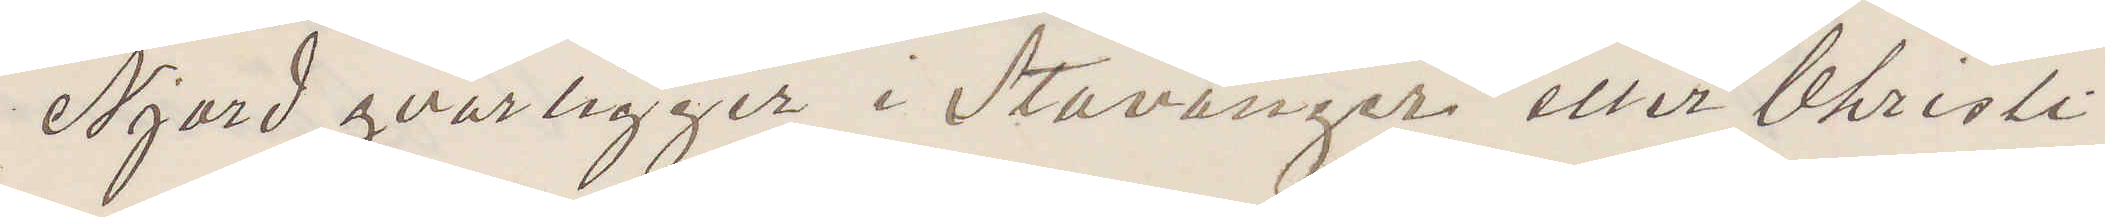Njord qvarligger i Stavanger eller Christi¬
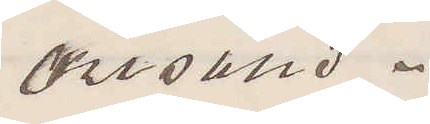ansand.
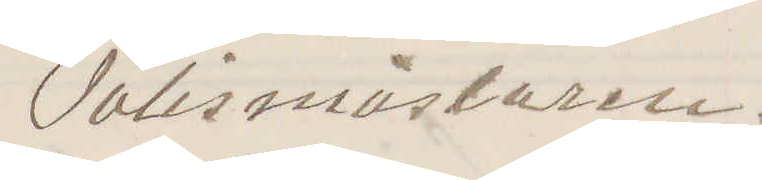Polismästaren.
